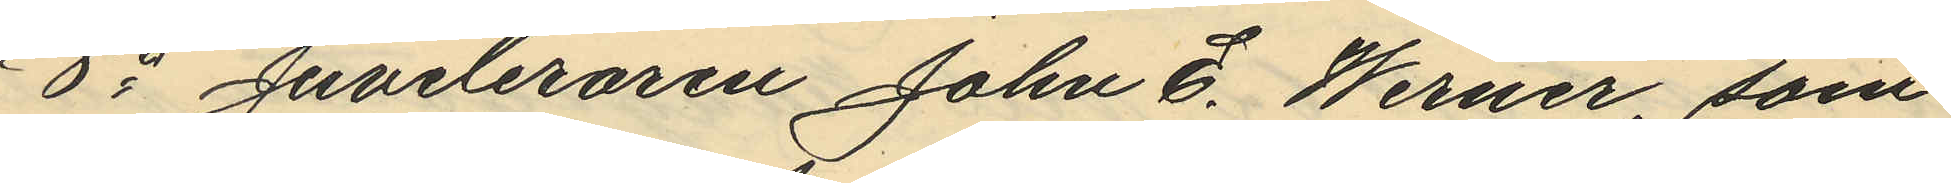8o Juveleraren John E. Werner, som
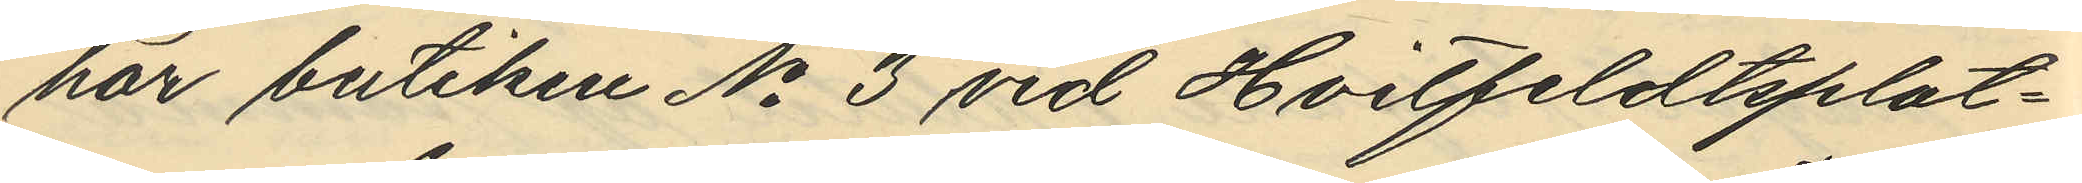har butiken No 3 vid Hvitfeldtsplat¬
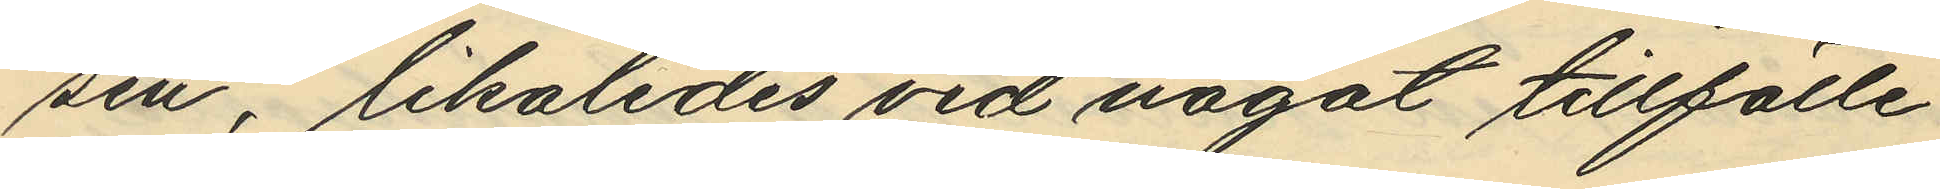sen, likaledes vid något tillfälle
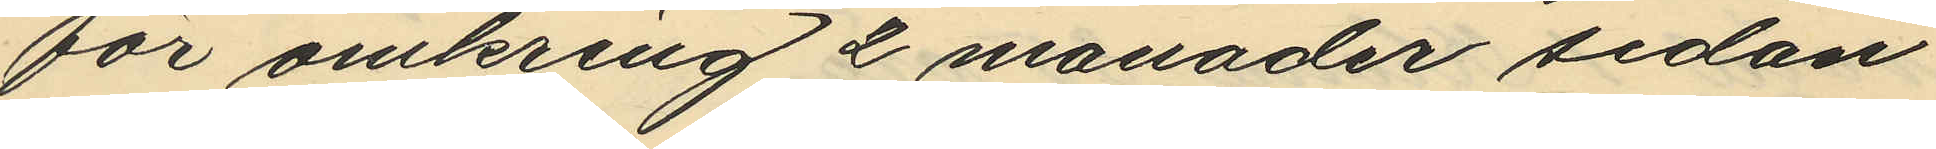för omkring 2 månader sedan
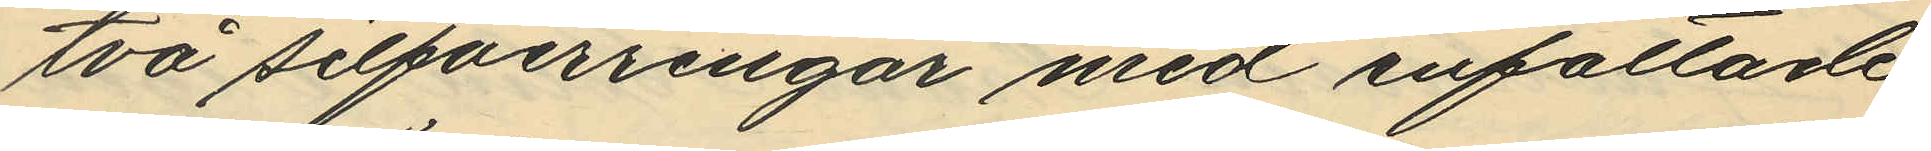två silfverringar med infattade
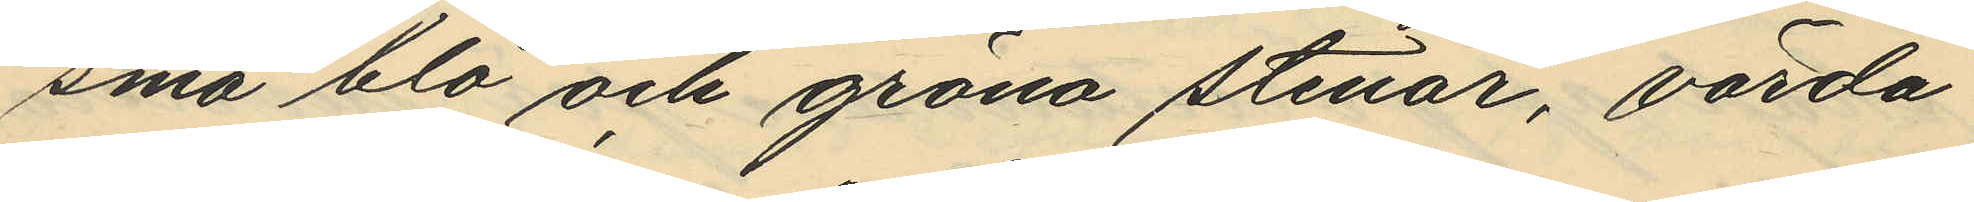små blå och gröna stenar, värda
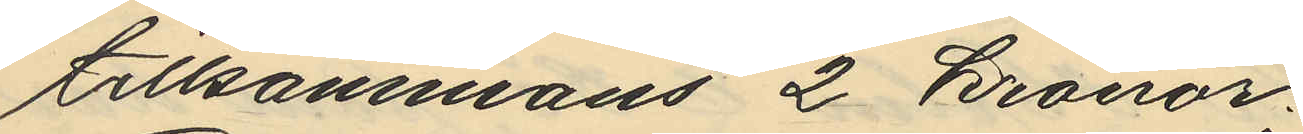tillsammans 2 Kronor.
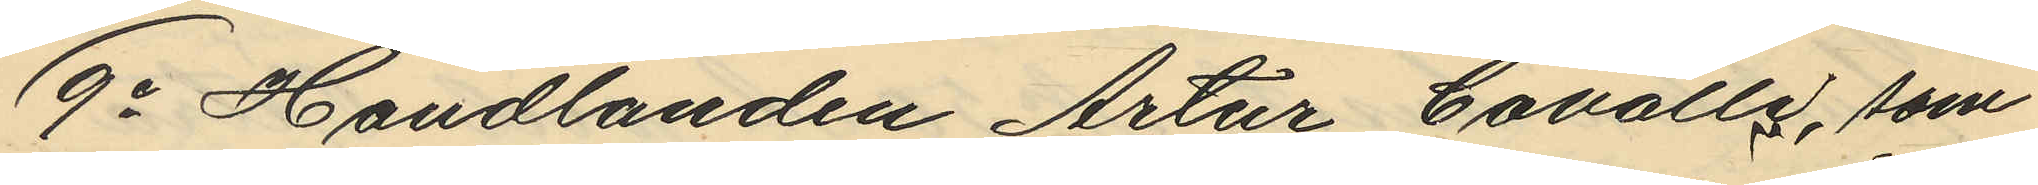9o Handlanden Artur Cavalle, som
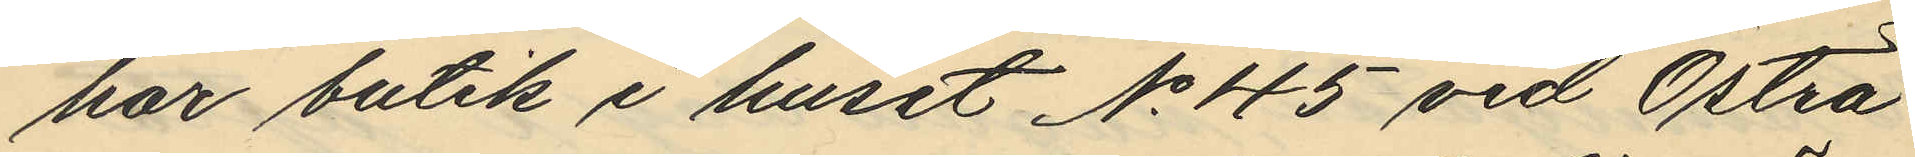har butik i huset No 45 vid Östra
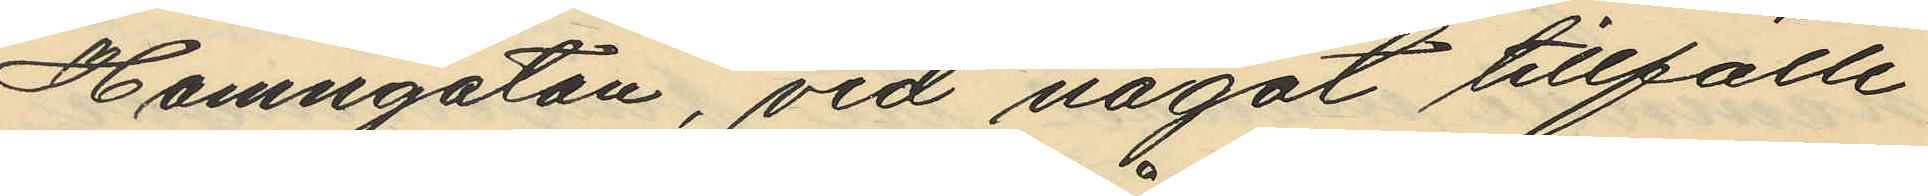Hamngatan, vid något tillfälle
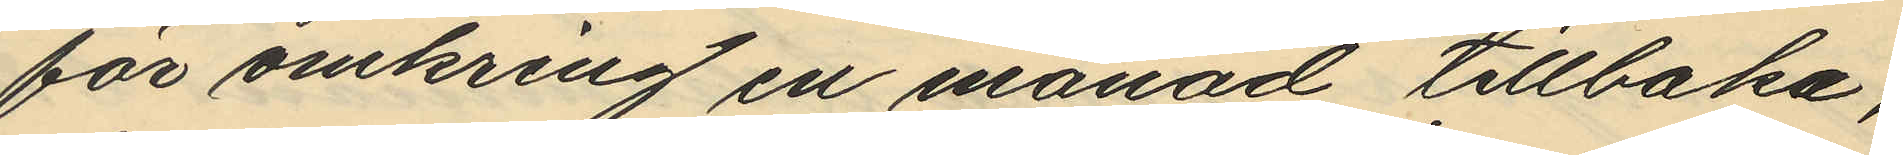för omkring en månad tillbaka;
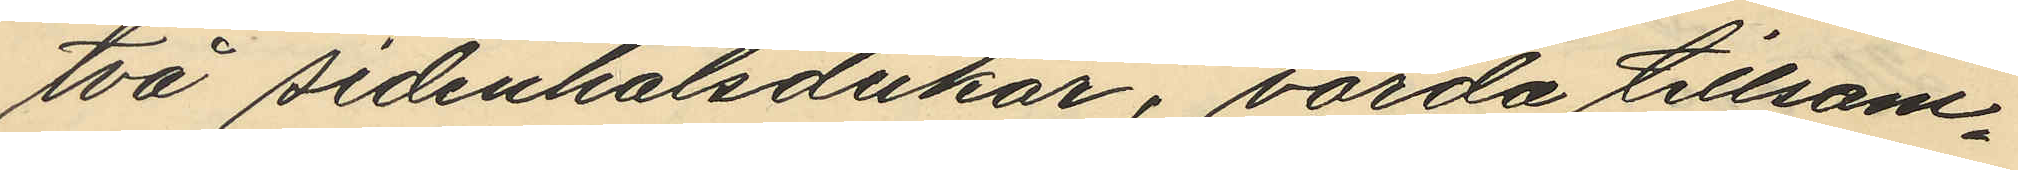två sidenhalsdukar, värda tillsam¬
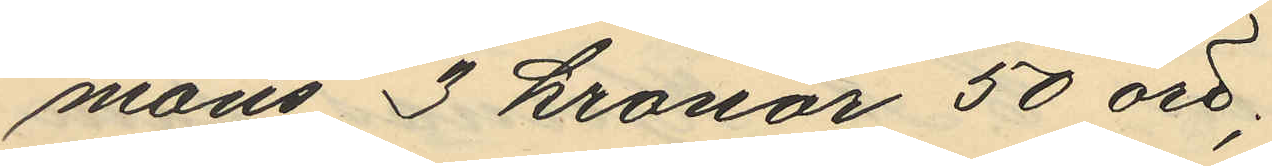mans 3 kronor 50 öre;
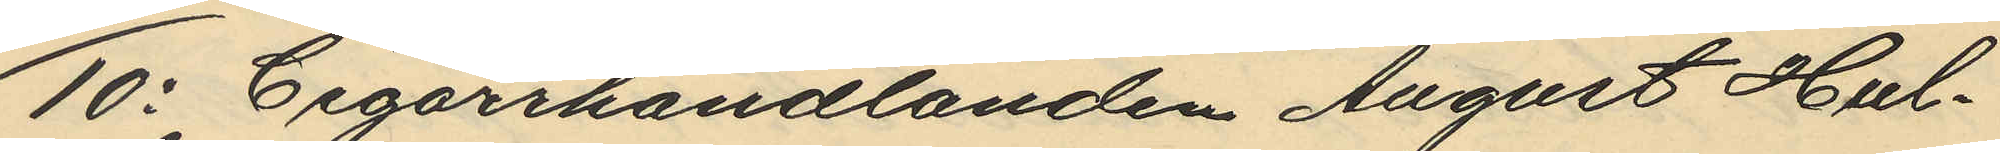10o Cigarrhandlanden August Hul¬
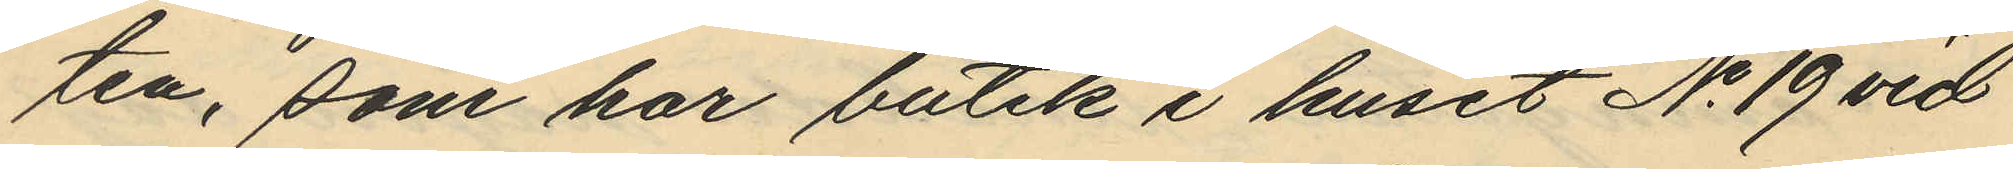ten, som har butik i huset No 19 vid
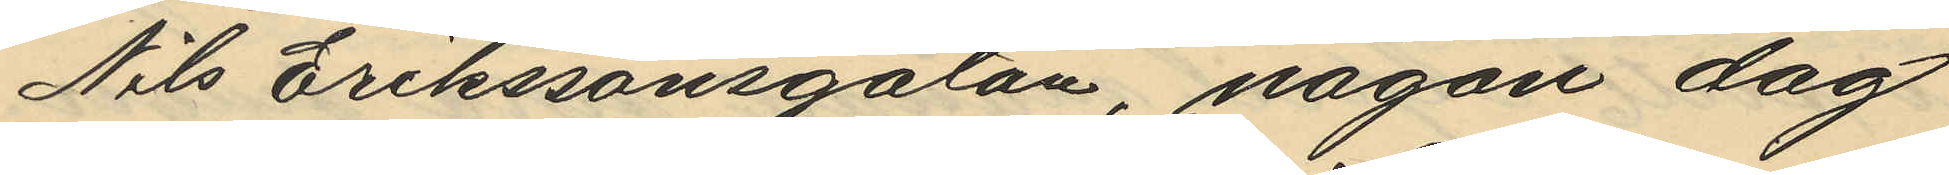Nils Erikssonsgatan, någon dag
